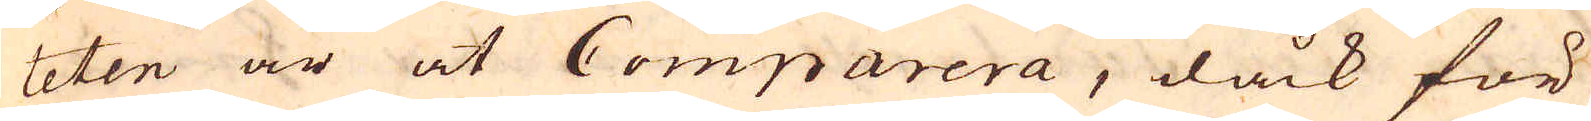teten är at Comparera, dåck för
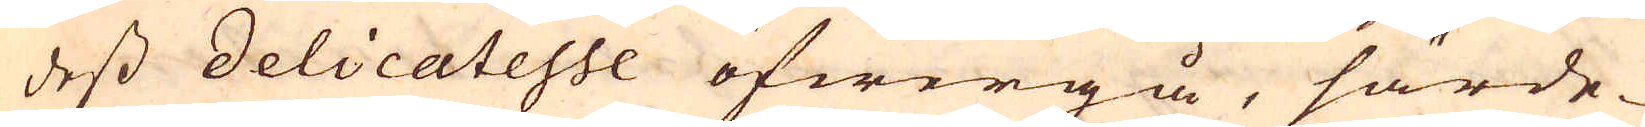dess delicatesse öfwergå, särde-
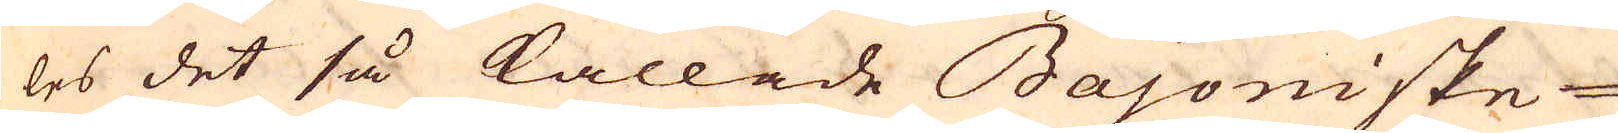les det så kallade Bajoniske
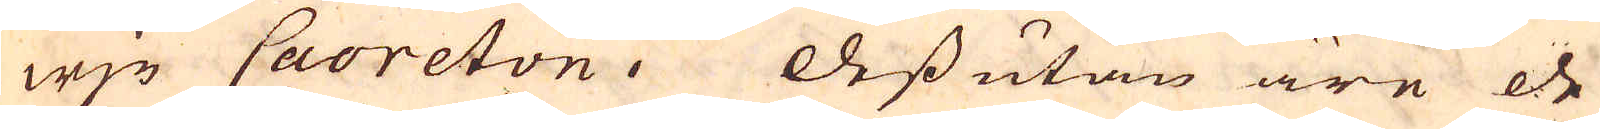wjn Caoreton. Dessutan äre de
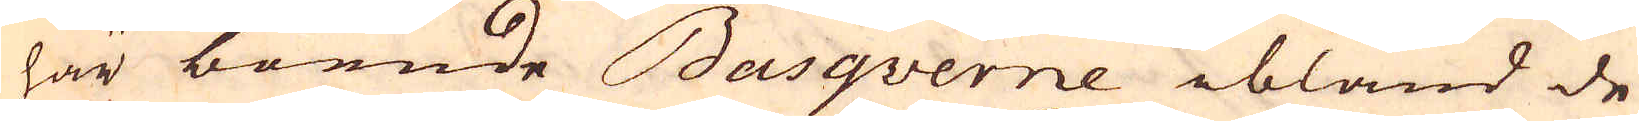här boende Basquerne ibland de
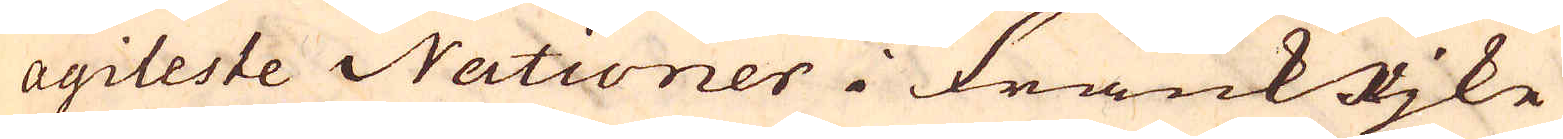agileste Nationer i Frankrjke
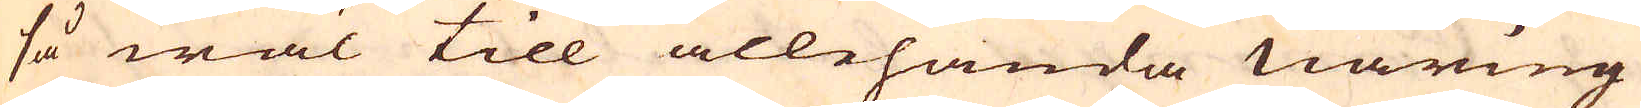så wäl till allehanda näring
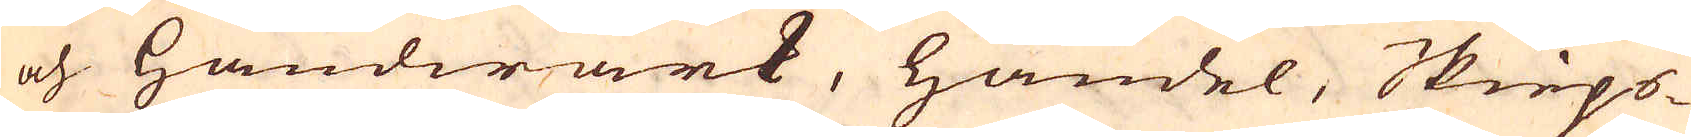och handwärk, handel, Skieps-
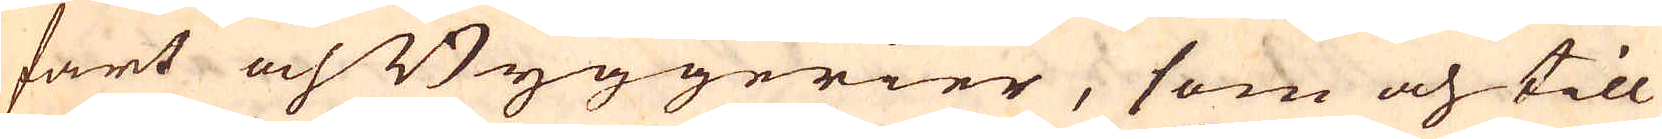fart och Byggerier, som och till
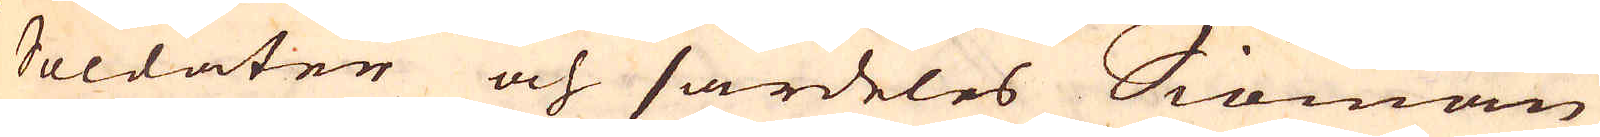Soldaten och särdeles Siömän
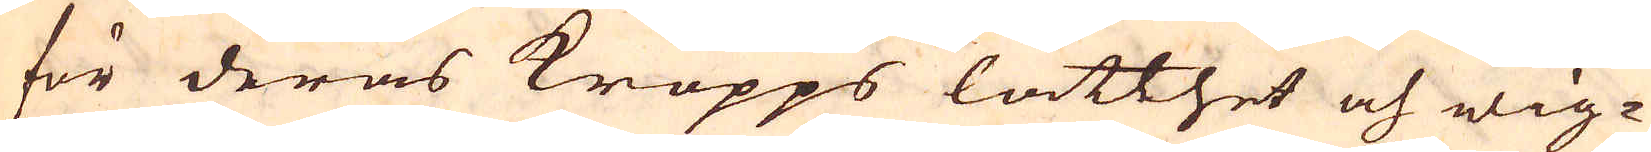för deras kropps lätthet och wig-
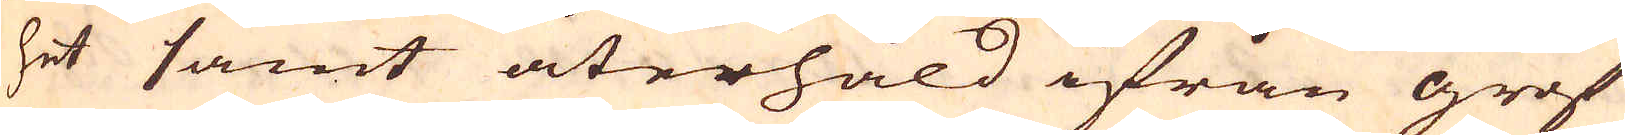het samt återhåld ifrån grof
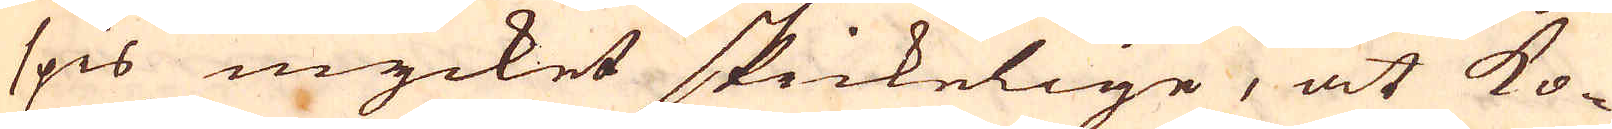spis mycket skickelige, at ko-
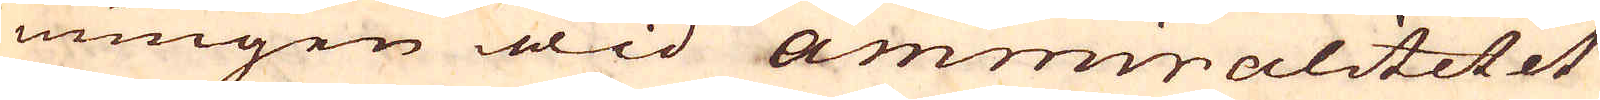nungen wid Ammirnalitetet
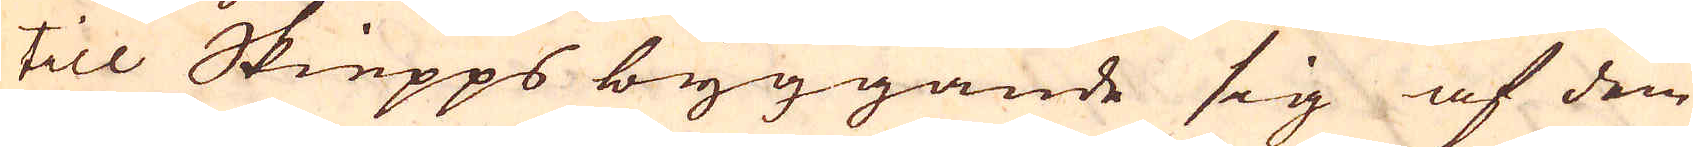till Skiepps byggande sig af dem
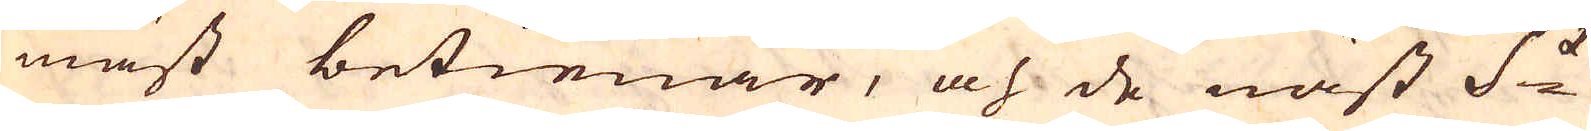mäst betienar, och de näst S:t
